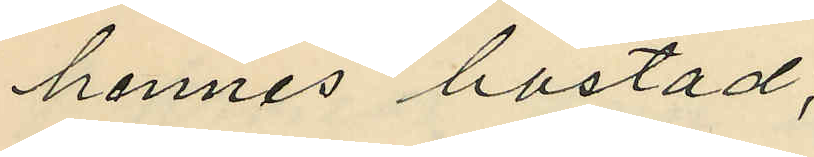hennes bostad;
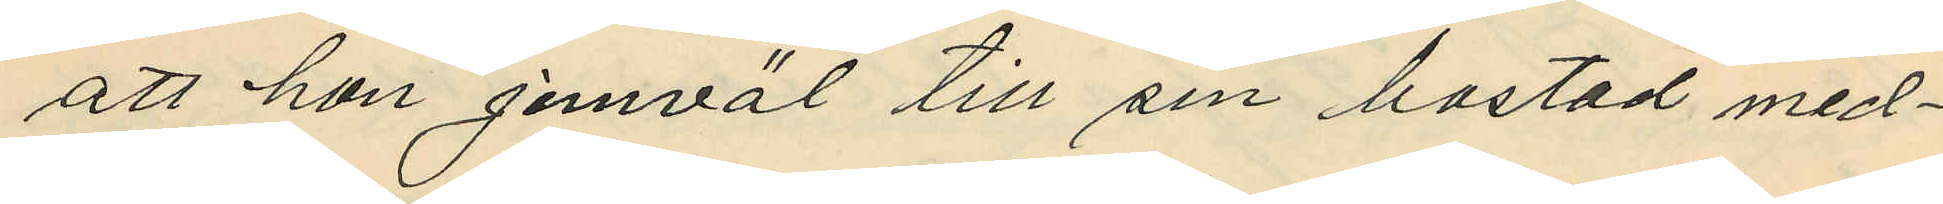att hon jemväl till sin bostad med¬
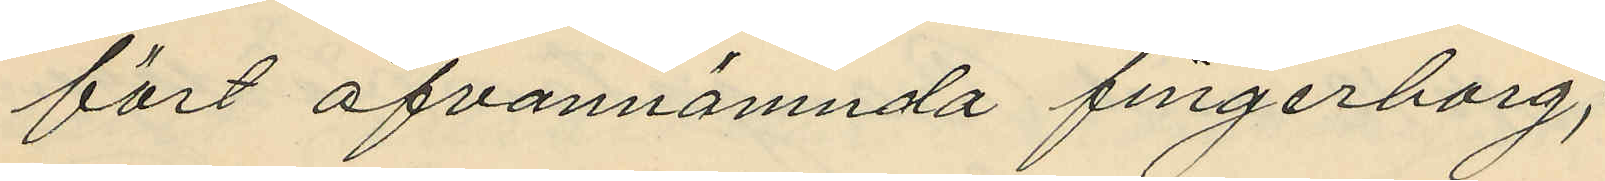fört ofvannämnda fingerborg;
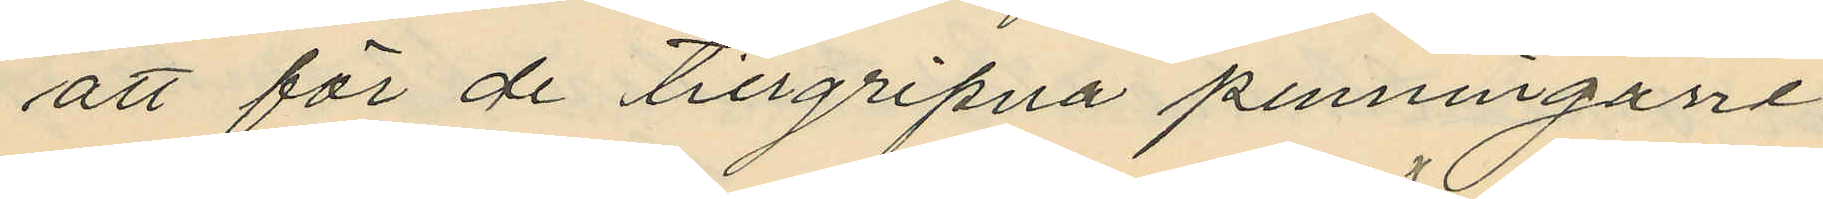att för de tillgripna penningarne
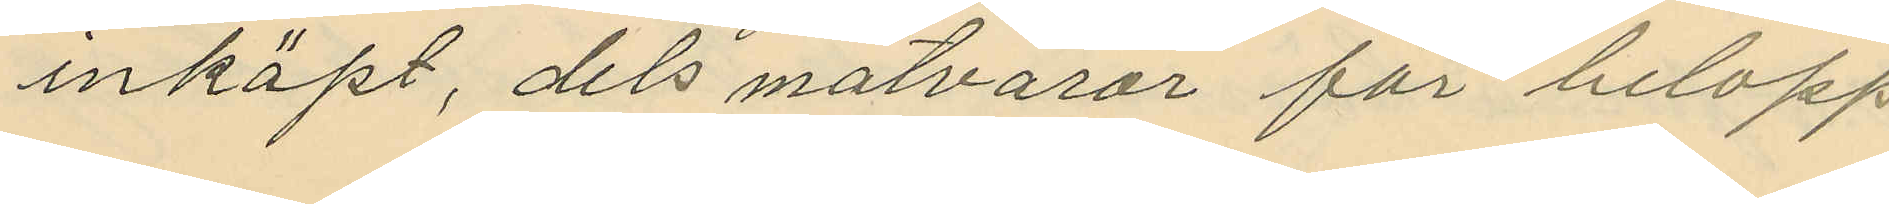inköpt, dels matvaror för belopp
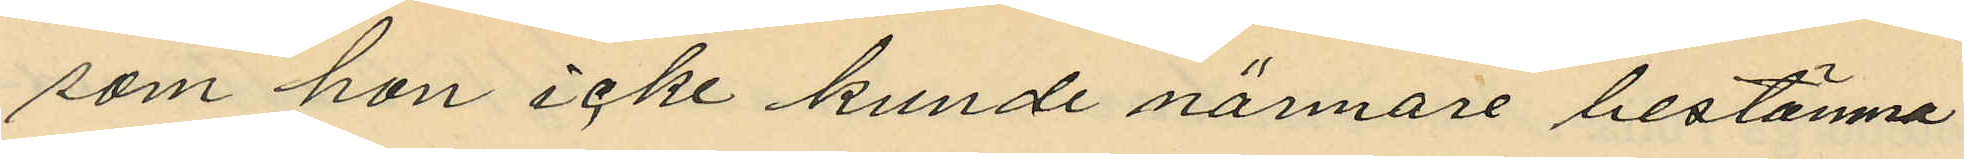som hon icke kunde närmare bestämna
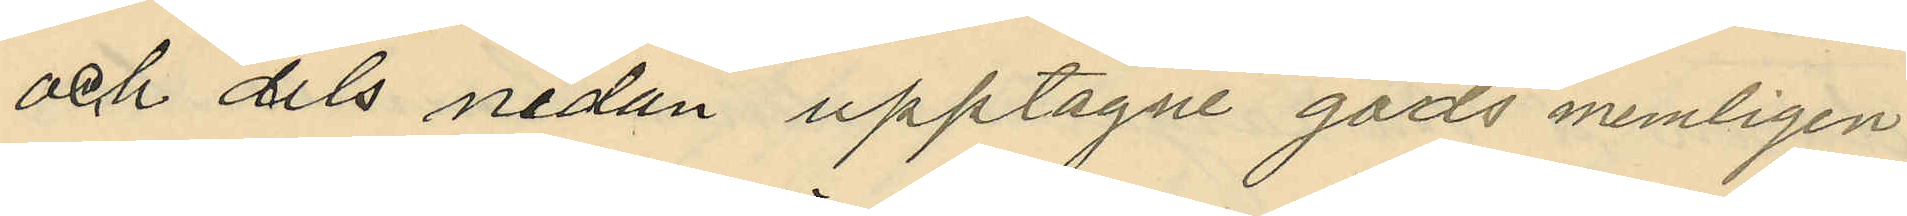och dels nedan upptagne gods memligen:
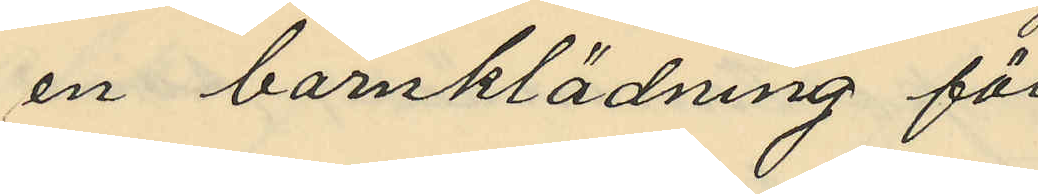en barnklädning för
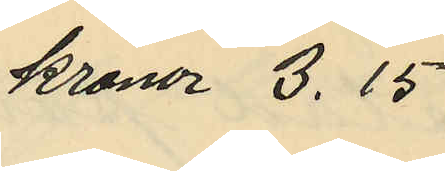kronor 3.15
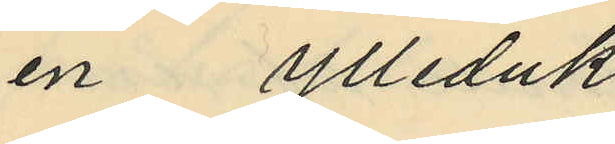en ylleduk
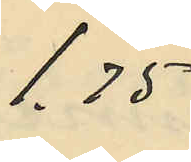1.75
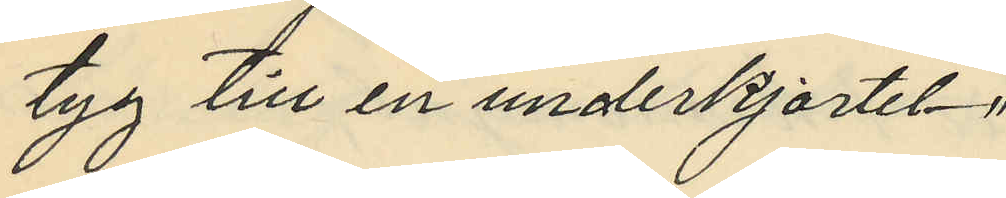tyg till en underkjortel -"-
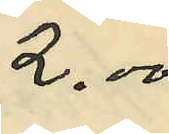2.00
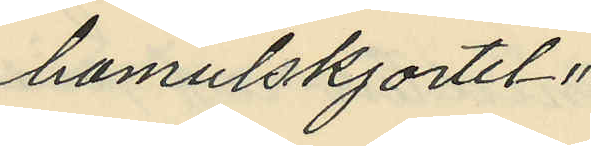bomulskjortel -"-
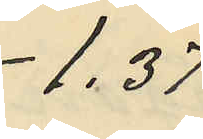1.37
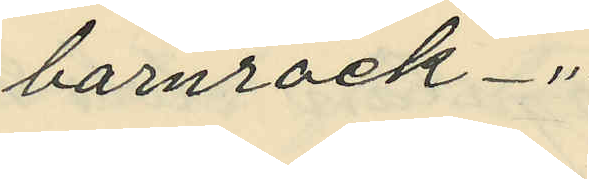barnrock -"-
